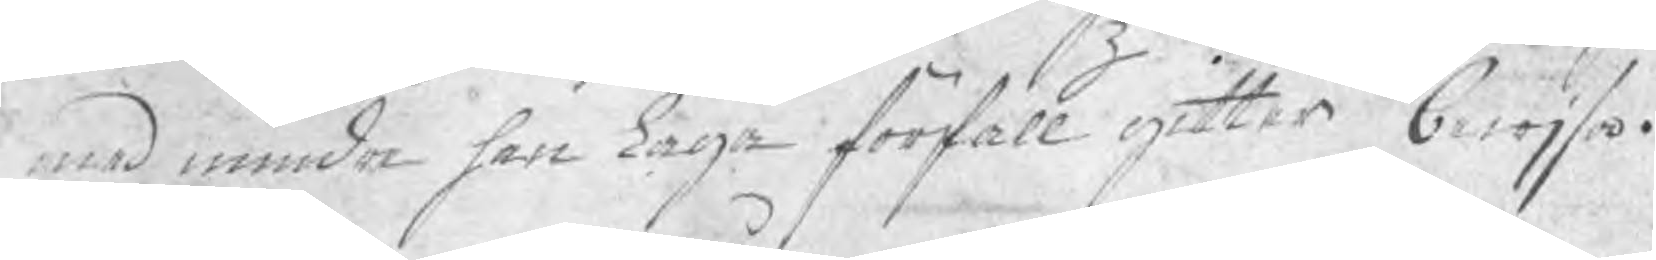med mindre han Laga förfall gitter bewijsa.
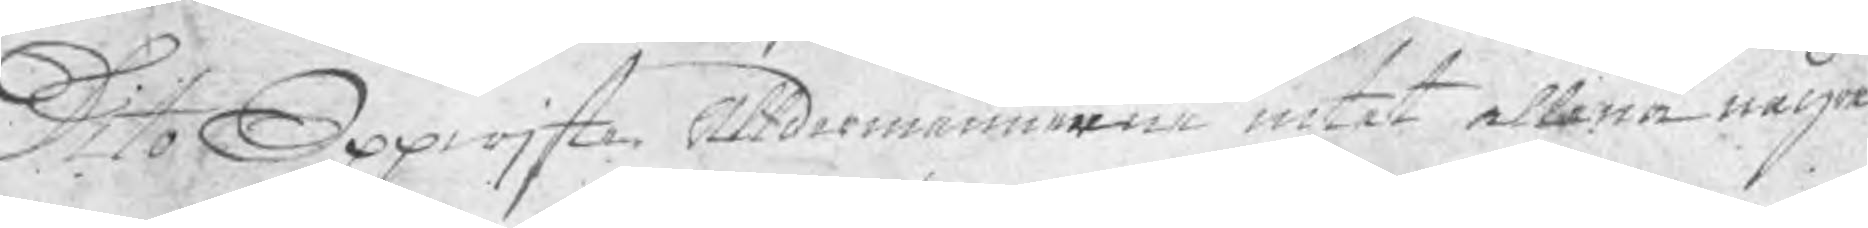Dito Oppwjste Ålldermännerne intet ellena några
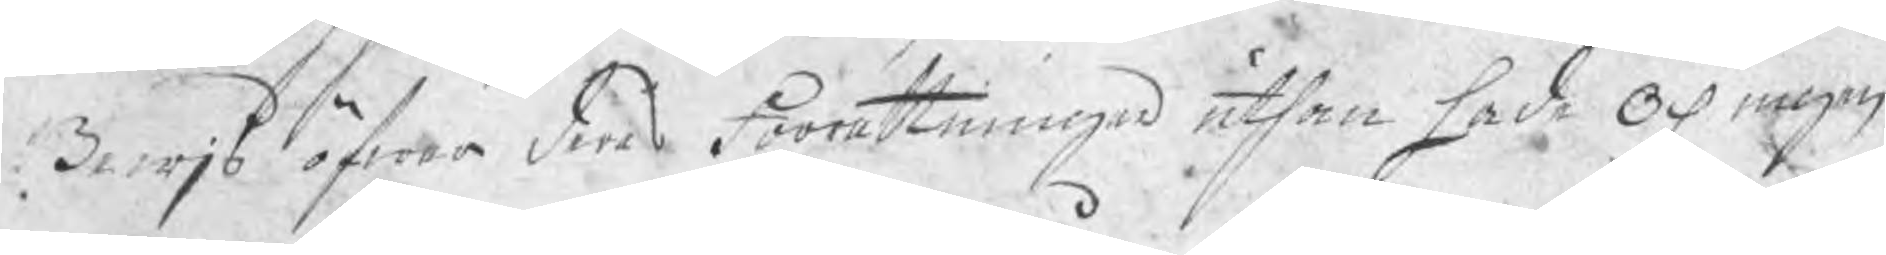Bewjs öfwer deras förrättningar uthan hade och ingen
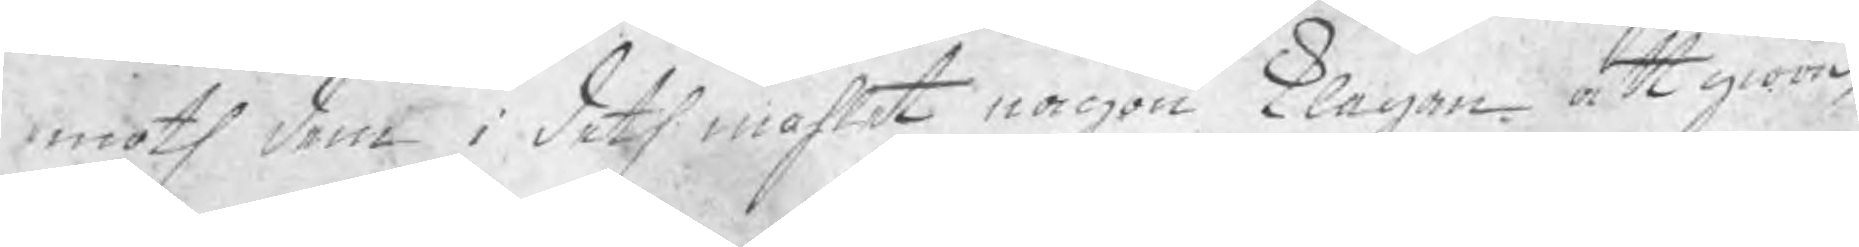emoth dem i deth måhlet någon klagan att giöra,
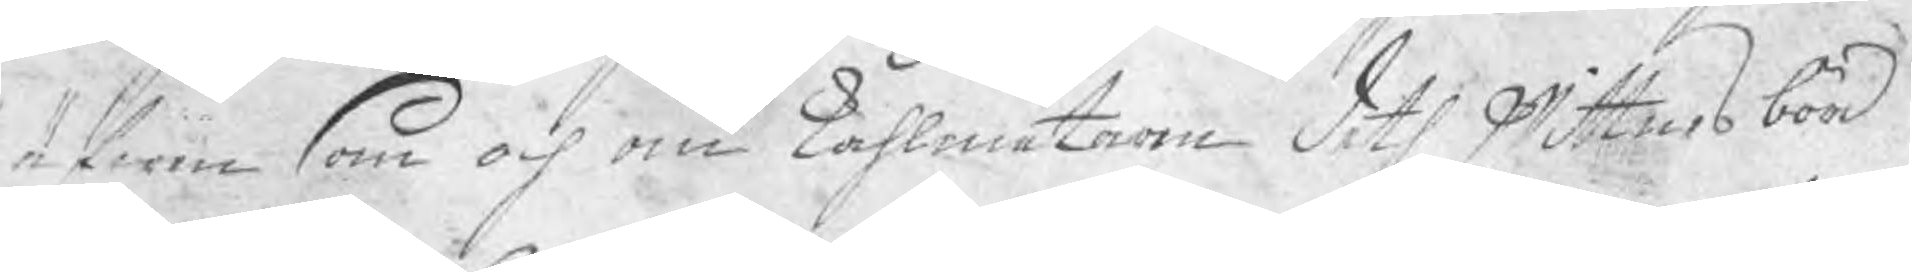äfwen som och om kåhlmätarne deth wittnesbörd
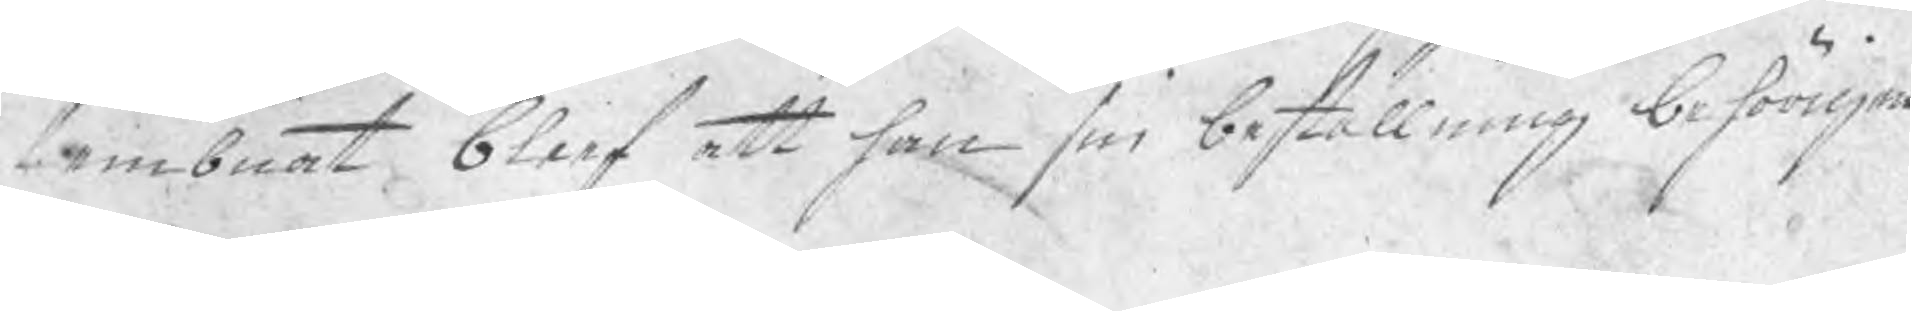lembnat blef att han sin beställning behörigen
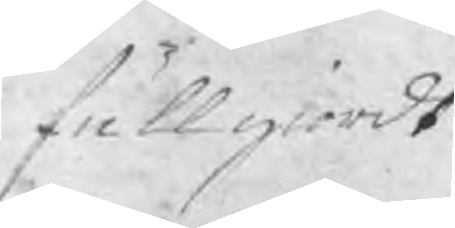fullgiordt
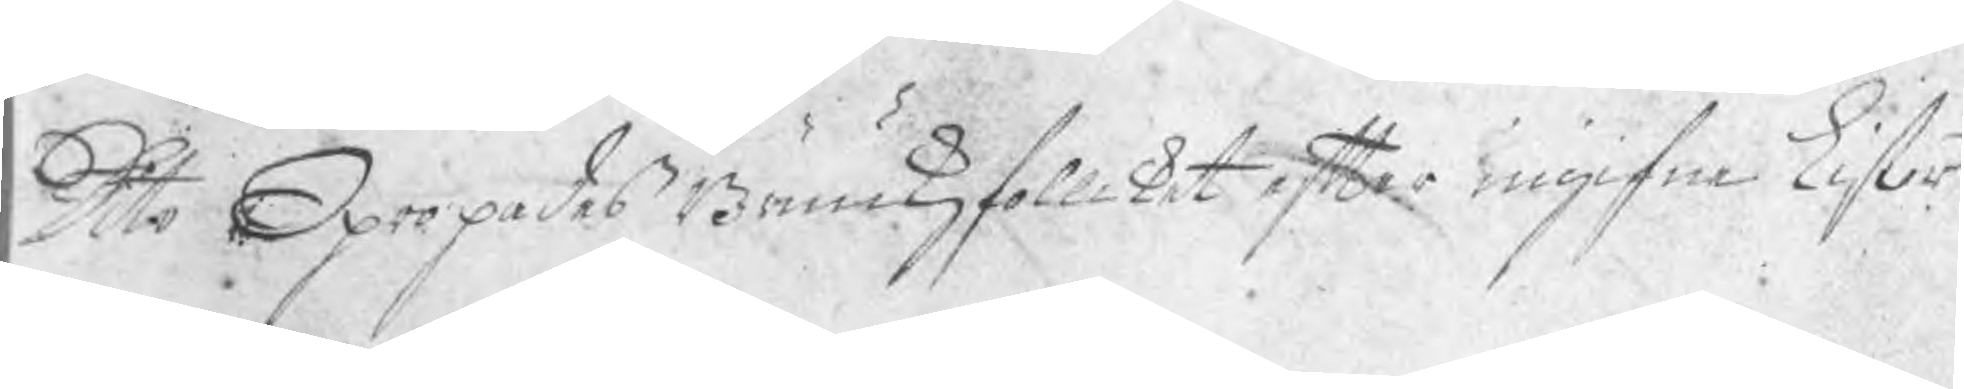Dito Opropades Brukzfollcket efter ingifne Listor
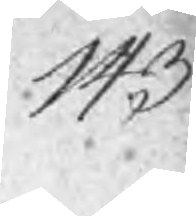143
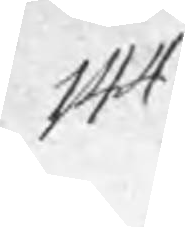144
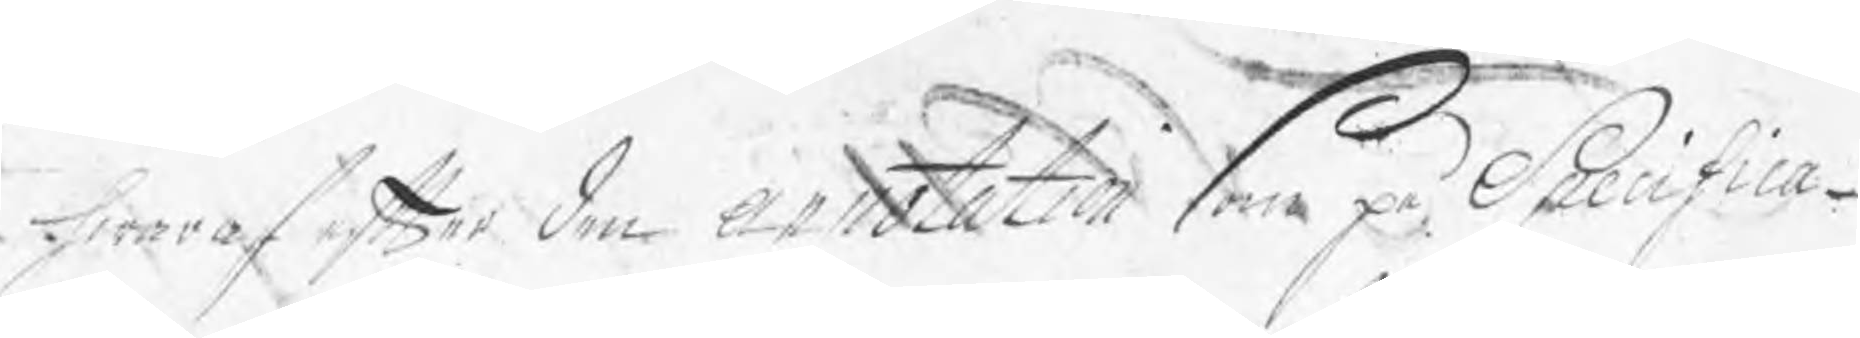hwaraf efter den annotation som på Specifica¬
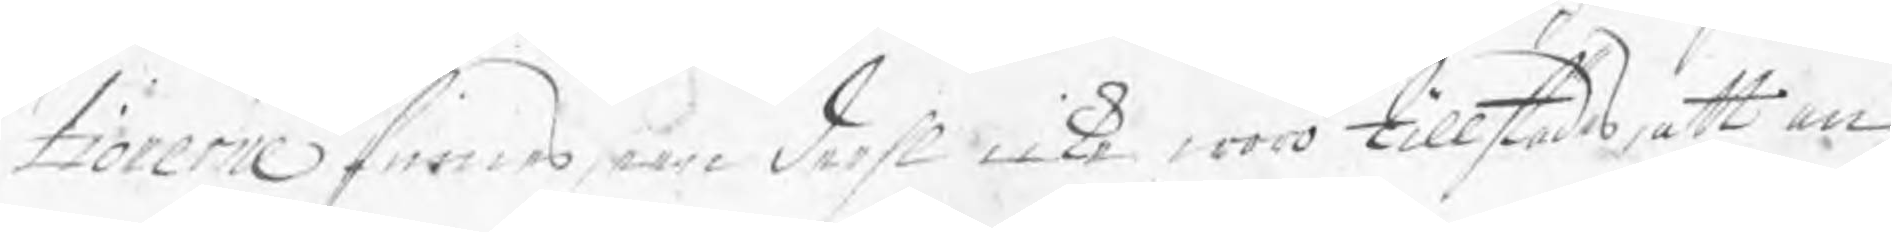tionerne finnes een deehl icke woro tillstädes, att an¬
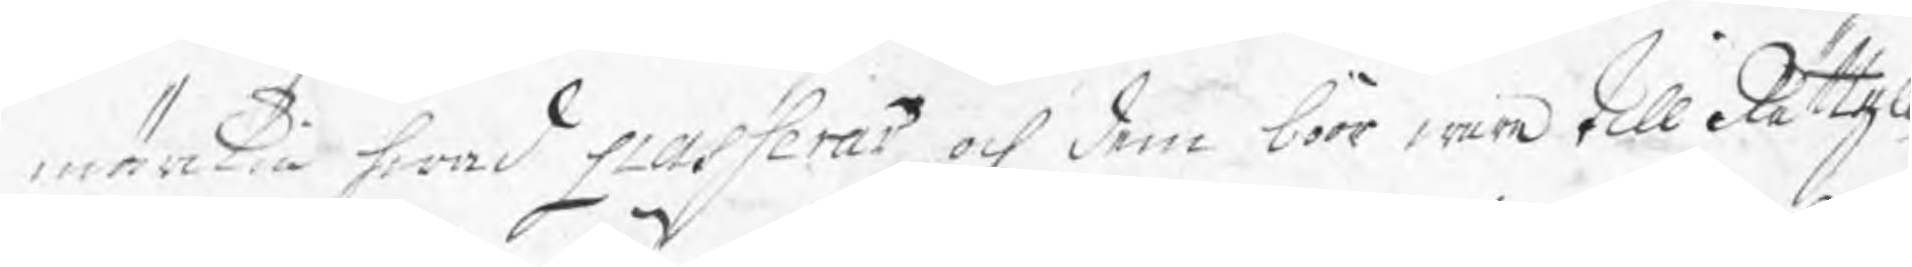märkia hwad passerar och dem böör wara till Rättell
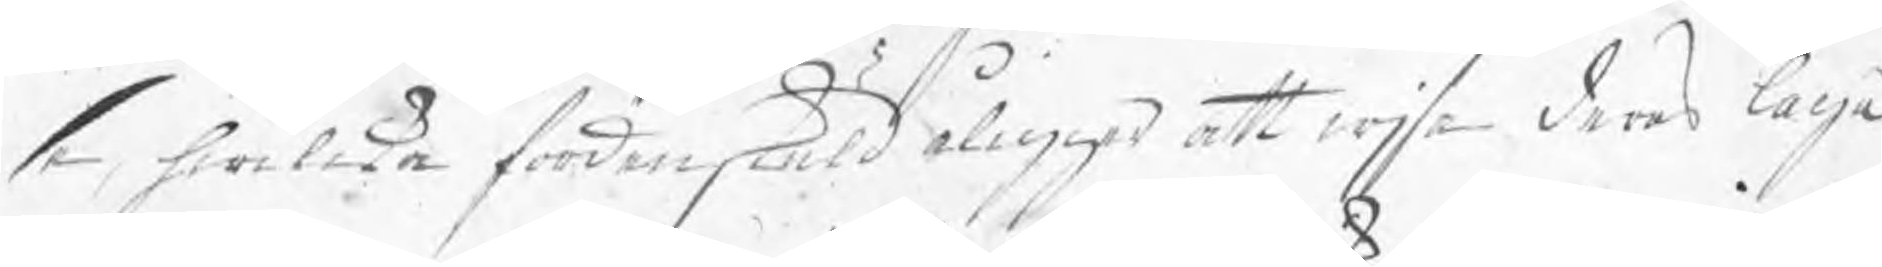se, hwilka förden skuld åligger att wjsa deras laga
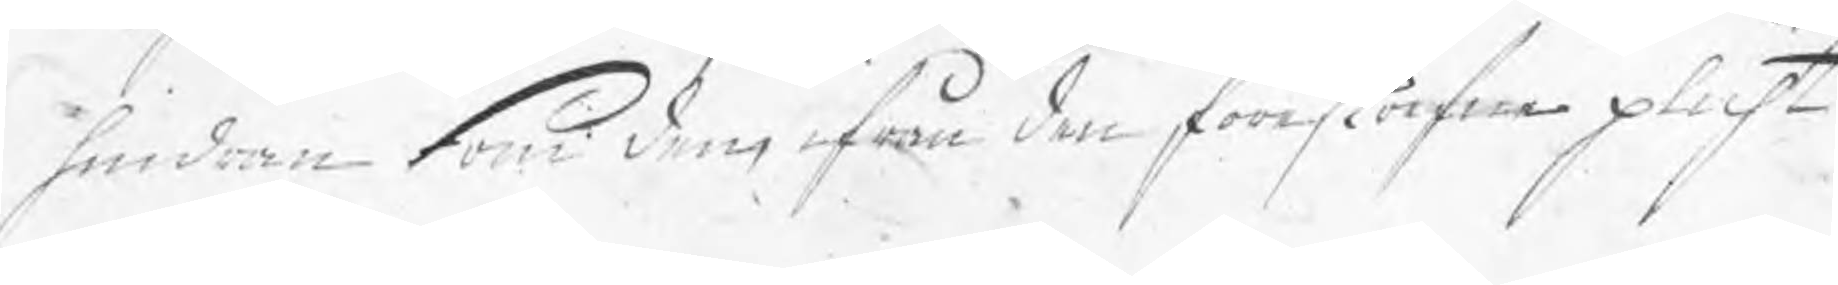hindren som dem ifrån den föreskrefne plicht
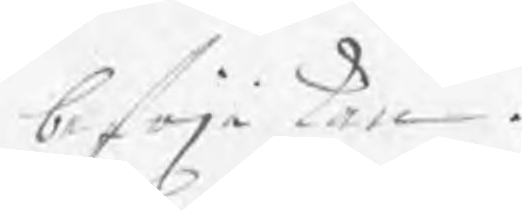befrja kan.
